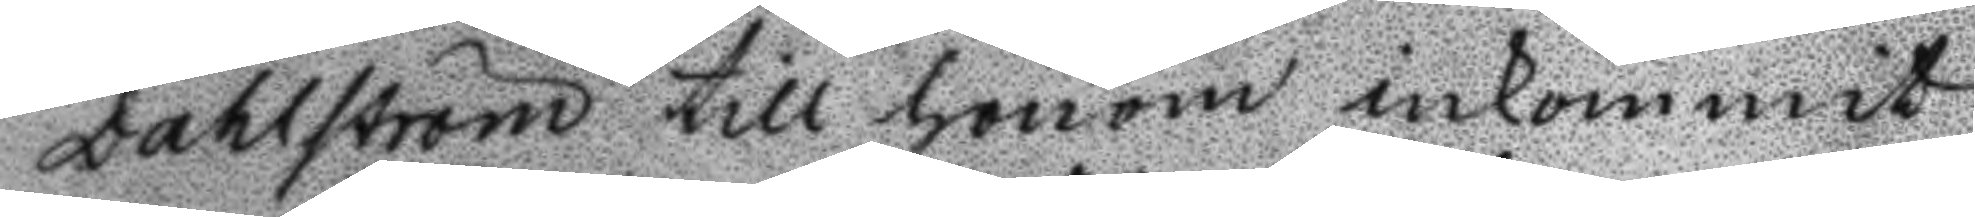Dahlström till honom inkommit
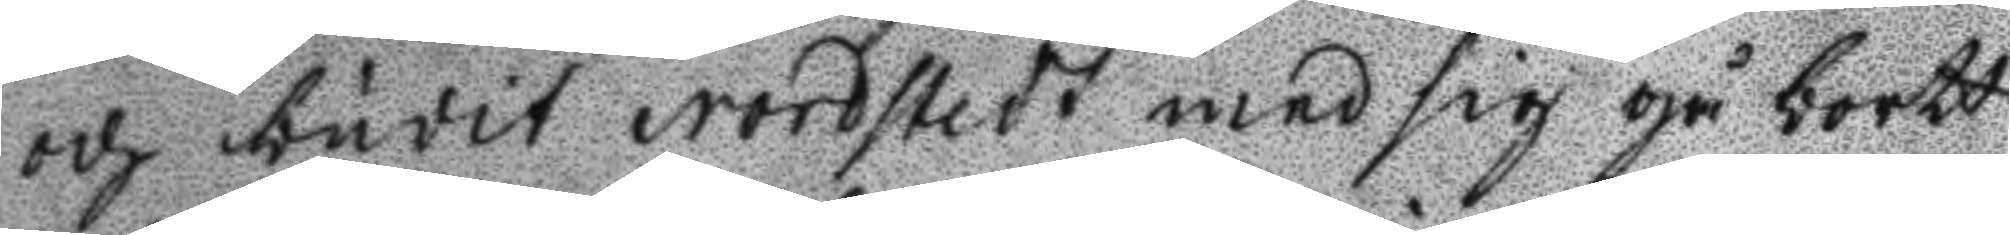och budit Nordstedt med sig gå bordt
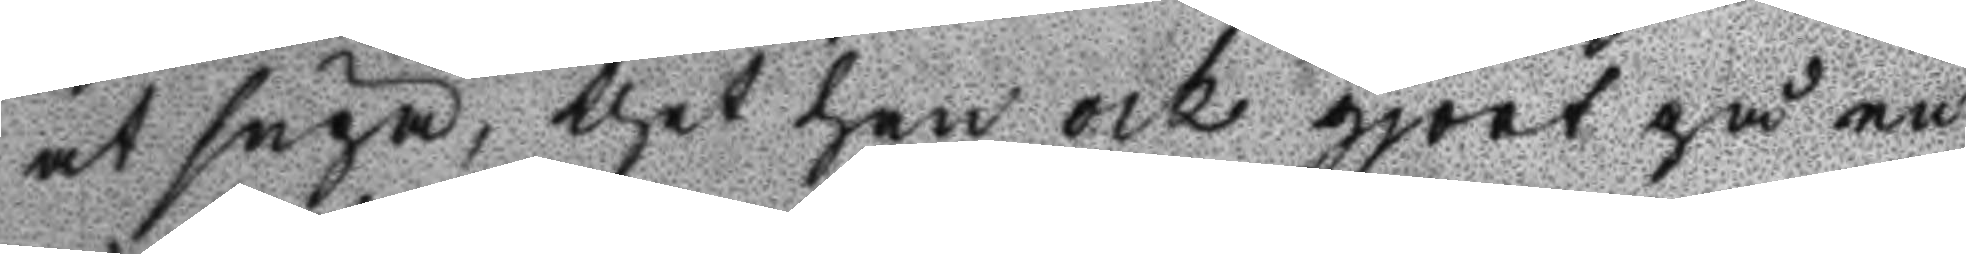at supa, thet han och gjort på en
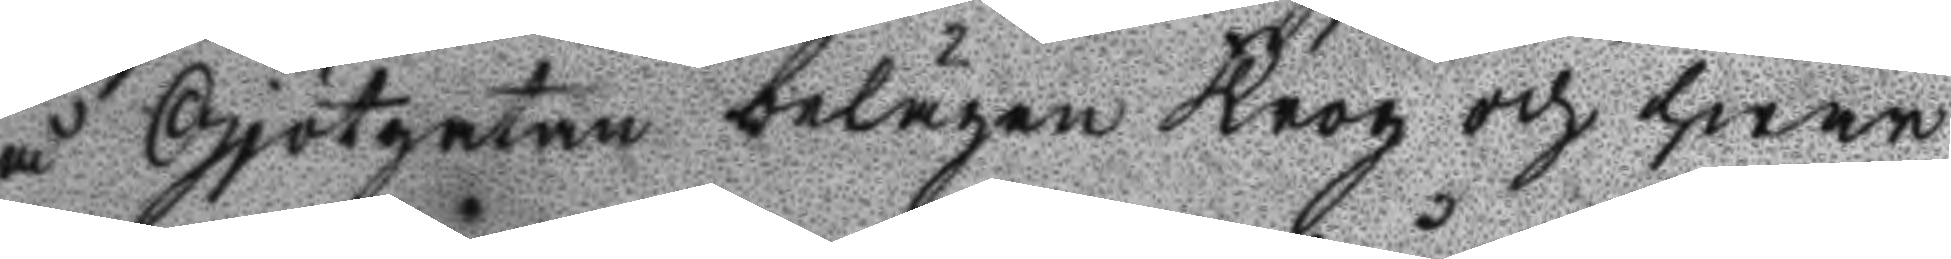å Gjötgatan belägen Krog och hwar
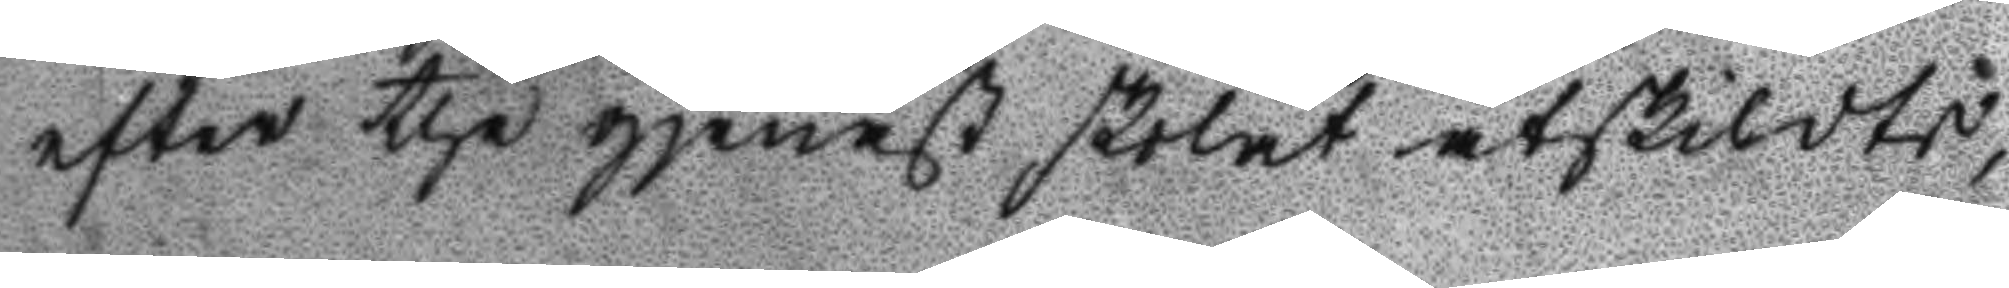efter the gjenast skolat åtskildts,
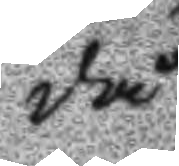då
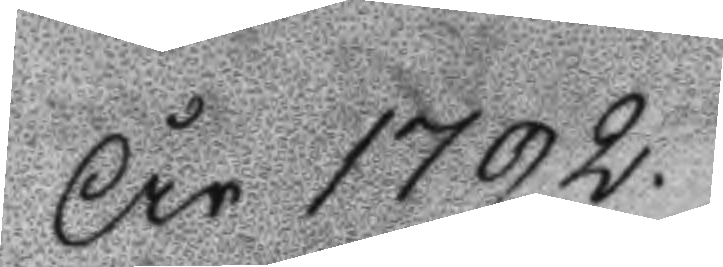År 1792.
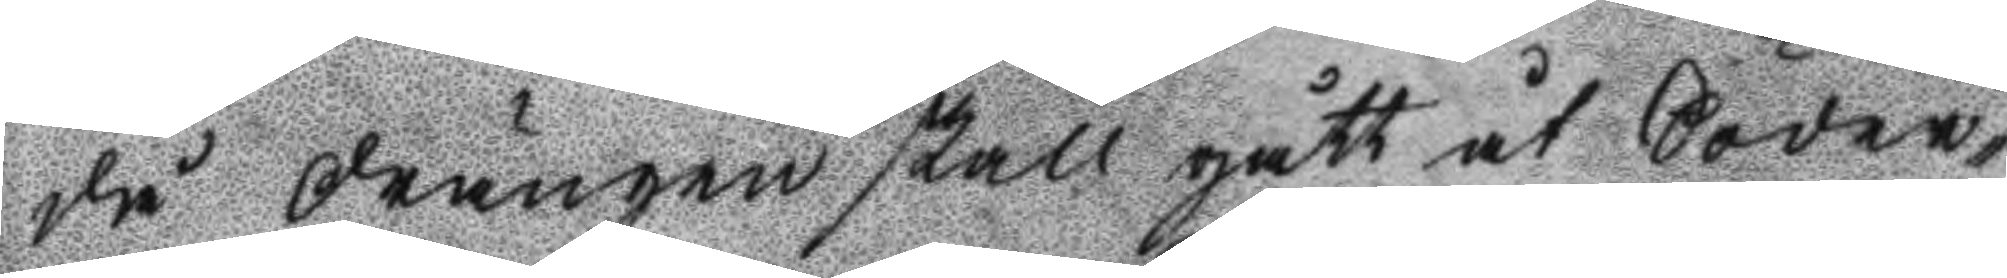då drängen skall gått åt Söder¬
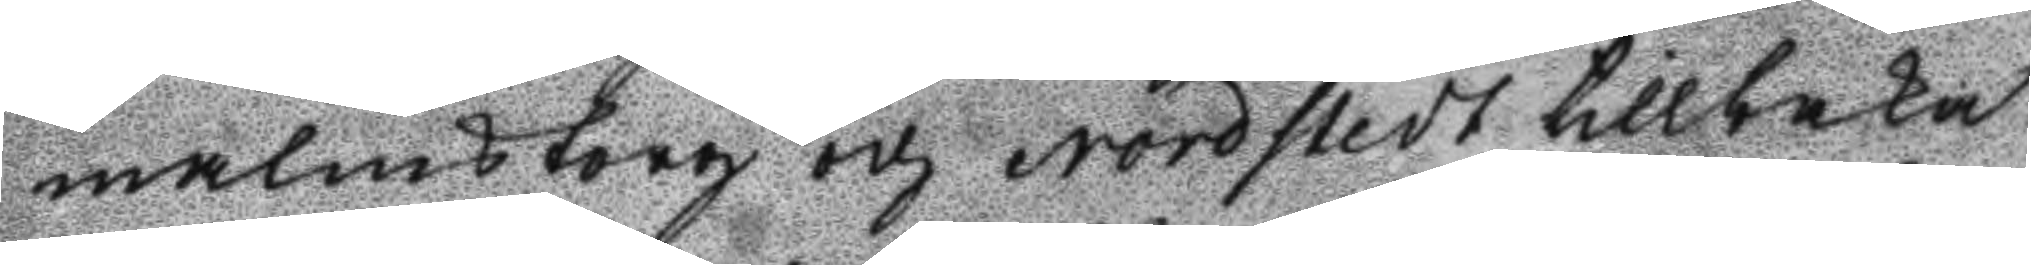malmstorg och Nordstedt tillbaka
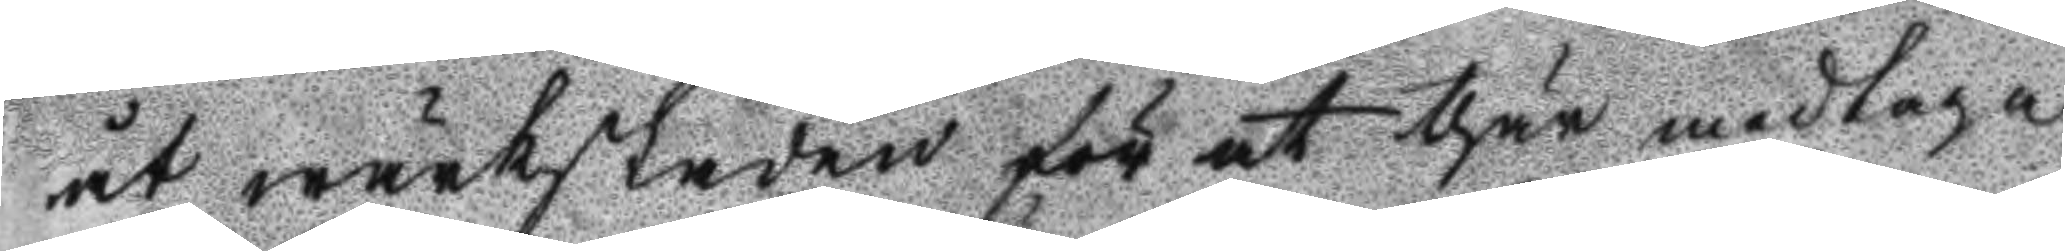åt wärkstaden för at thär medtaga
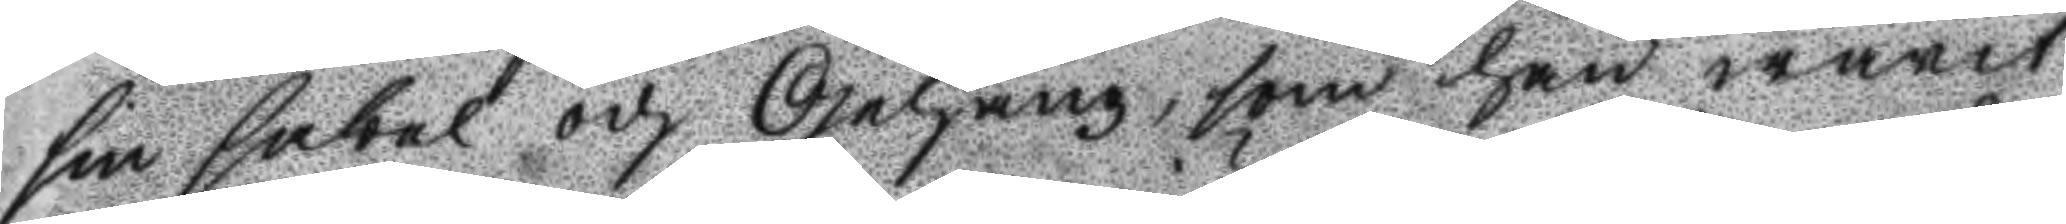sin sabel och Gehäng, som han warit
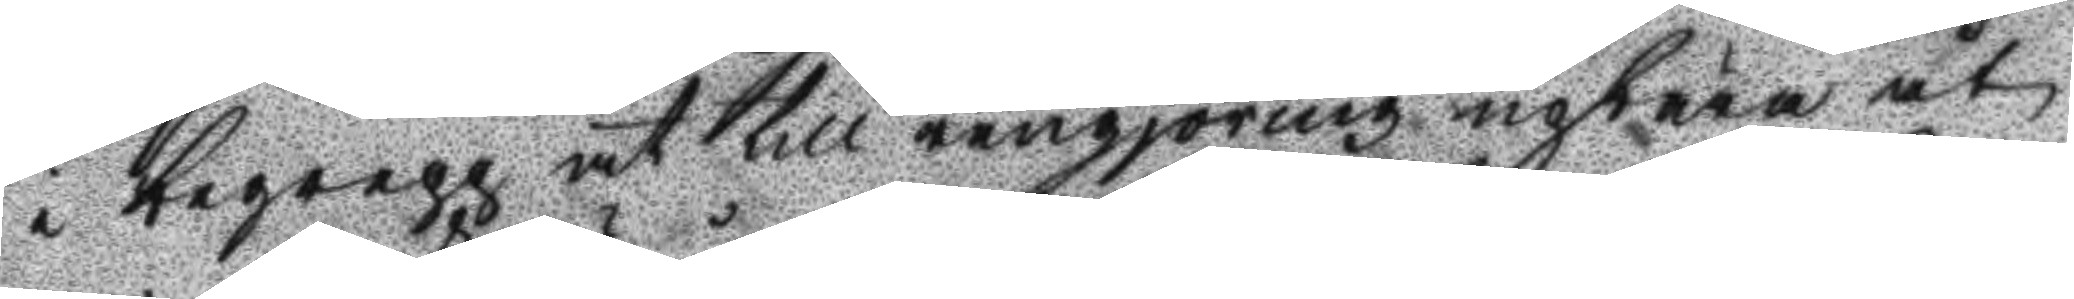i begrepp at till rengjöring upbära ut
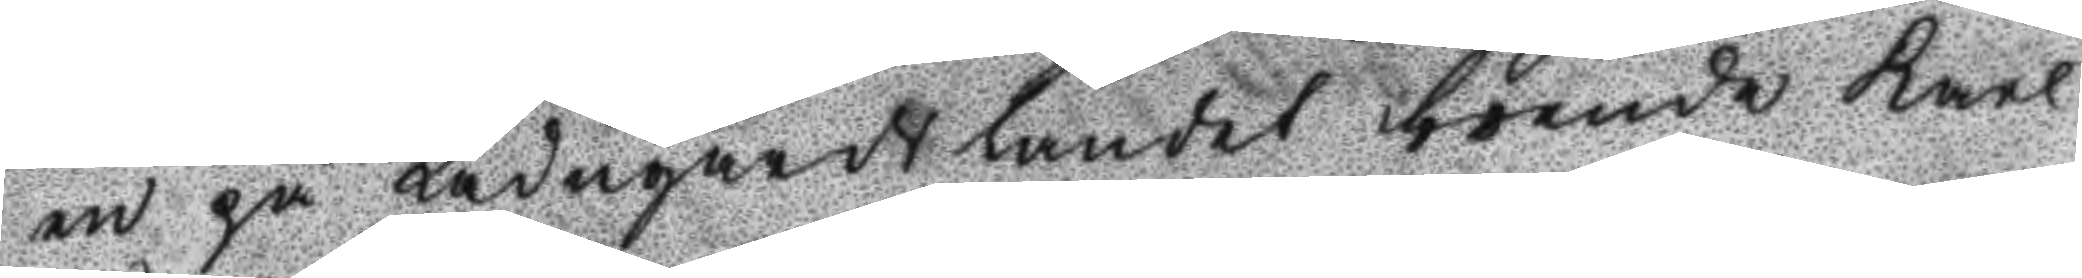en på Ladugårdslandet boende Karl
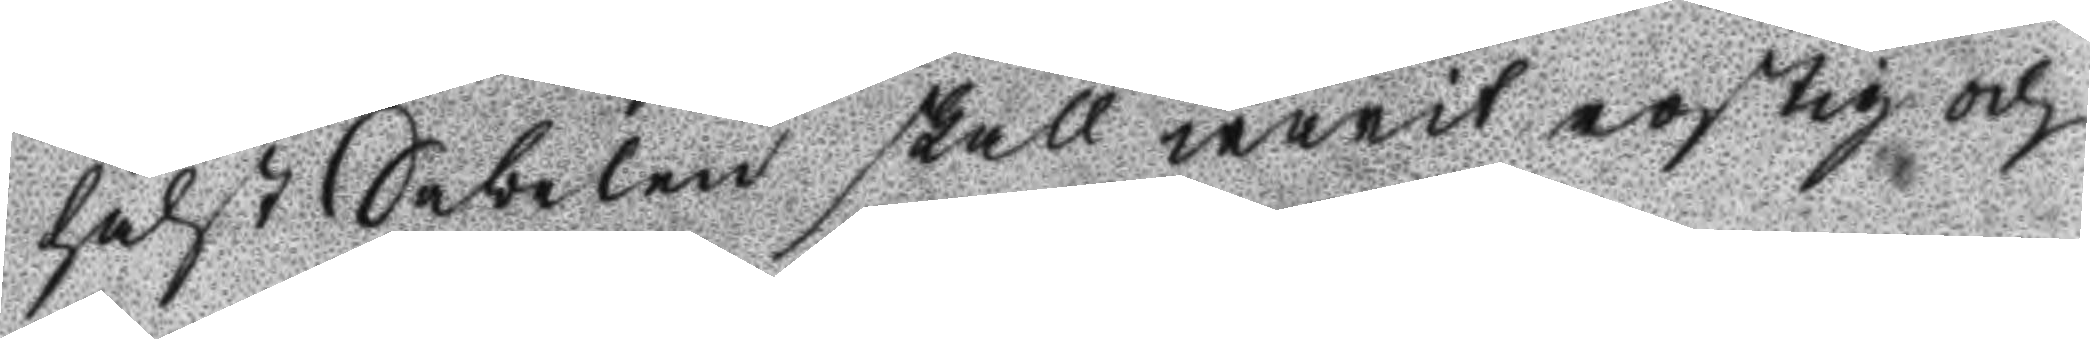hälst Sabelen skall warit rostig och
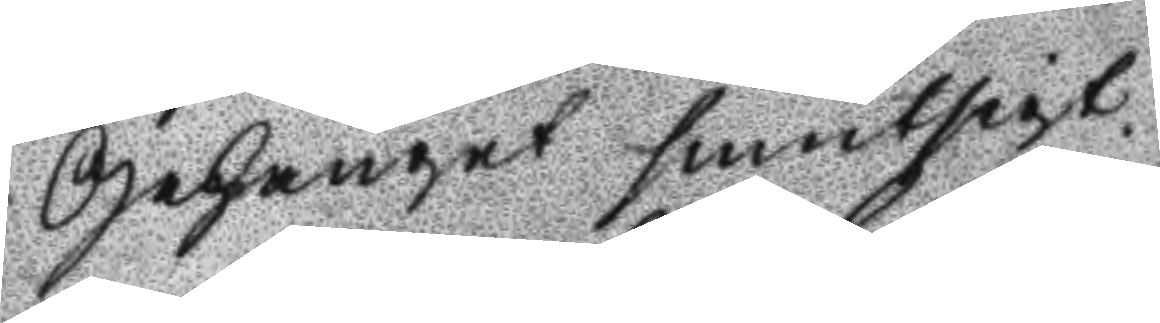Gehänget smutsigt.
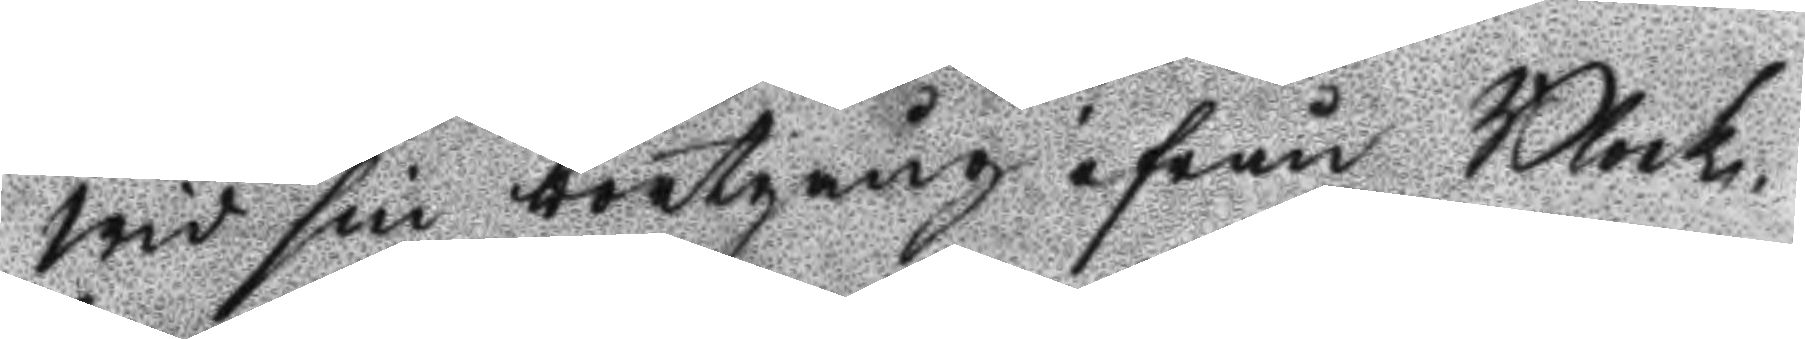Wid sin bortgång ifrån Block¬
